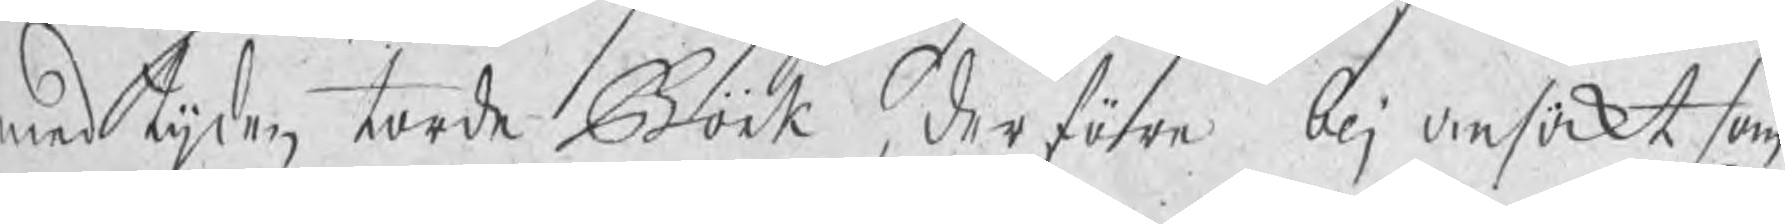med tijden torde Bork, derföre blj ansökt som
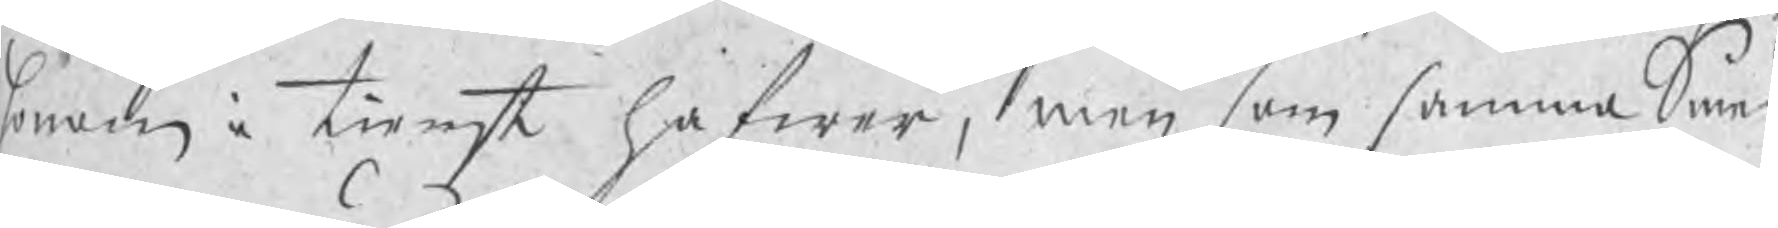honom i tienst hafwer, men som samma Smed
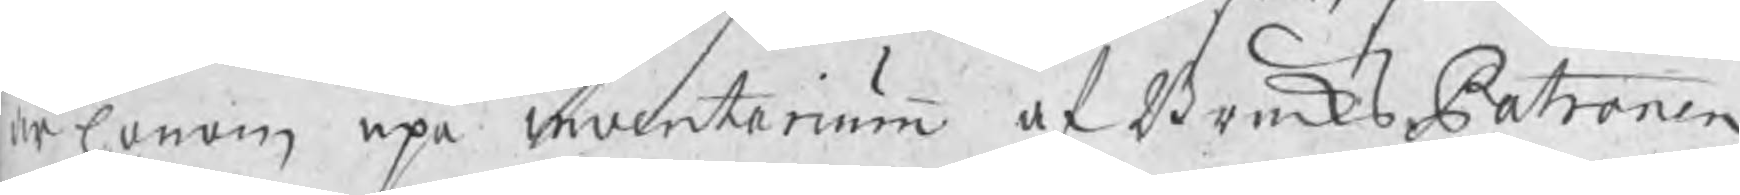är honom upå inventarium af BruksPatronen
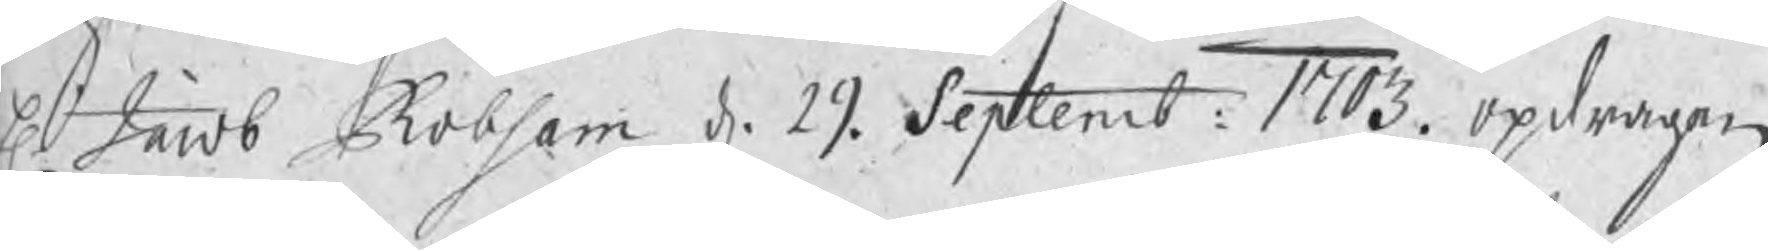H. Jacob Robsam d. 29 Septemb: 1703. opdragen
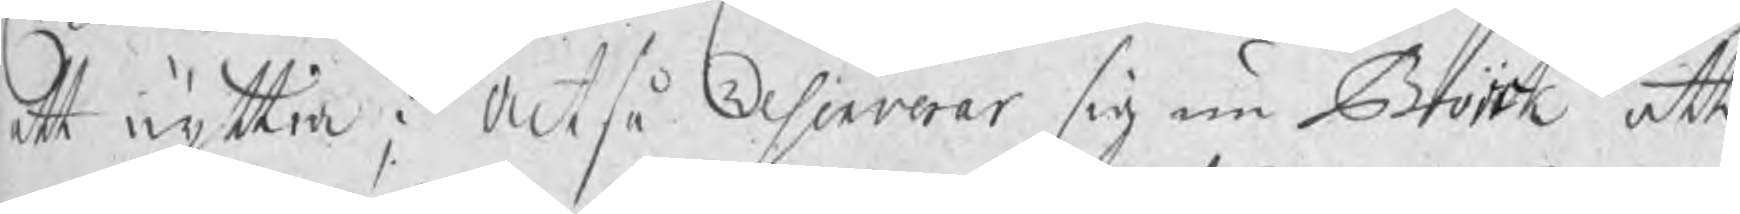att nyttia; Altså Resolverar sig nu Bork att
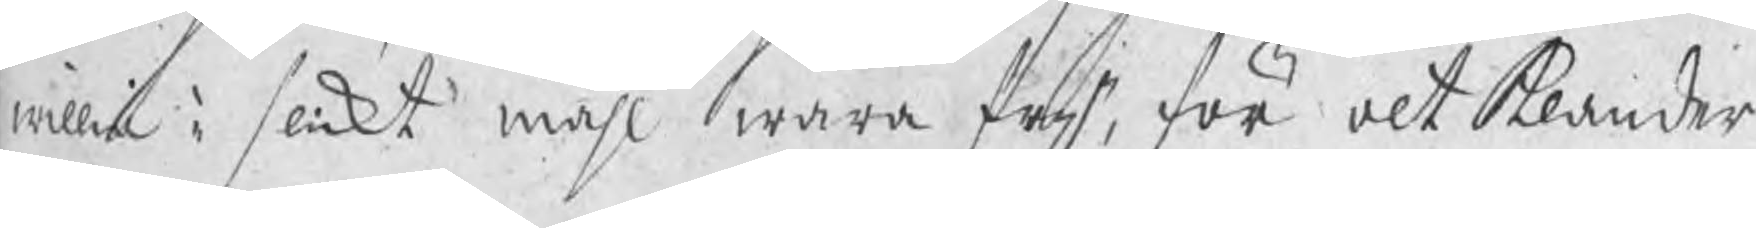willia i slikt måhl wara frij, för alt klander
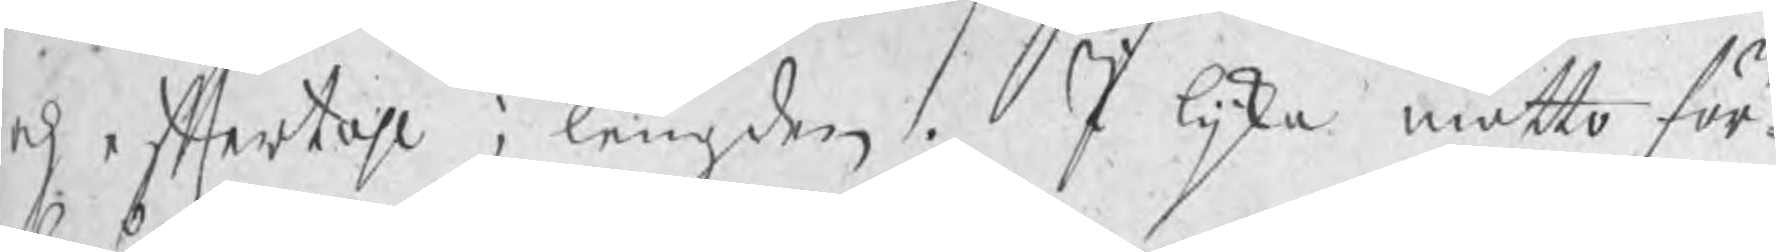och eftertahl i lengden. I lijka måtto för¬
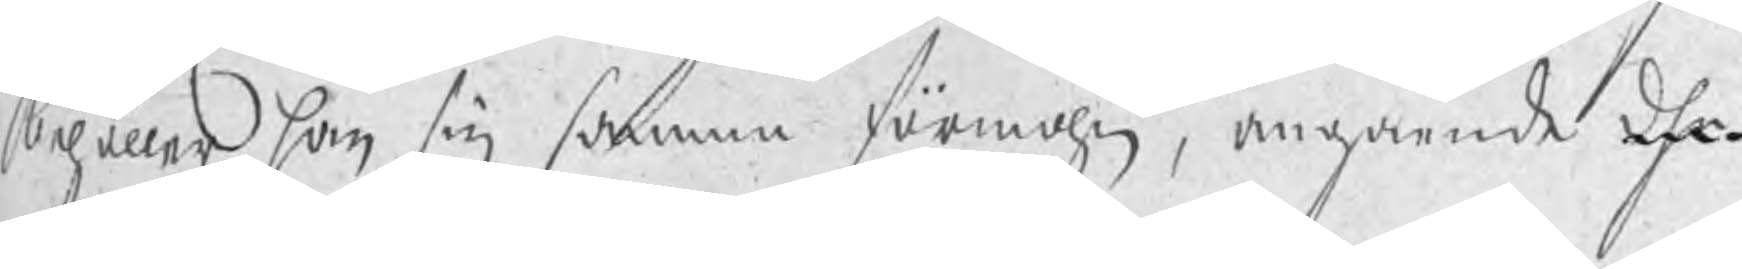behåller han sig samma förmohn, angående dhe
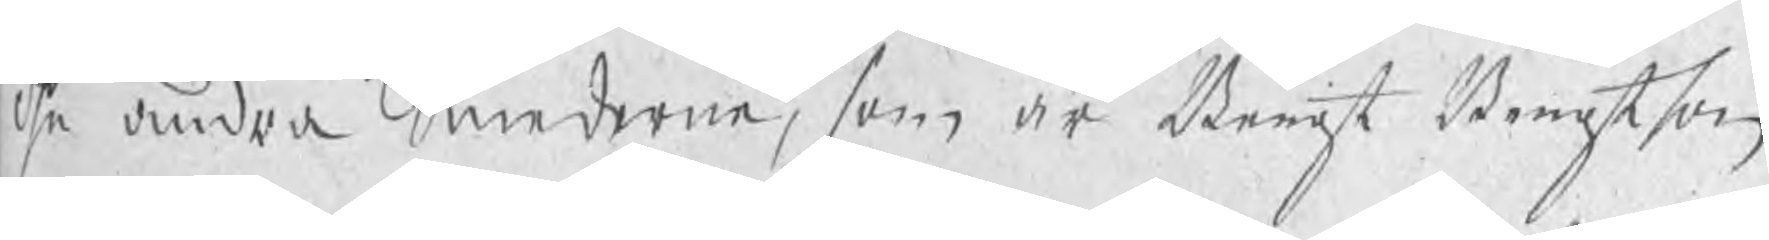dhe andra Smederne, som är Bengt Bengtson
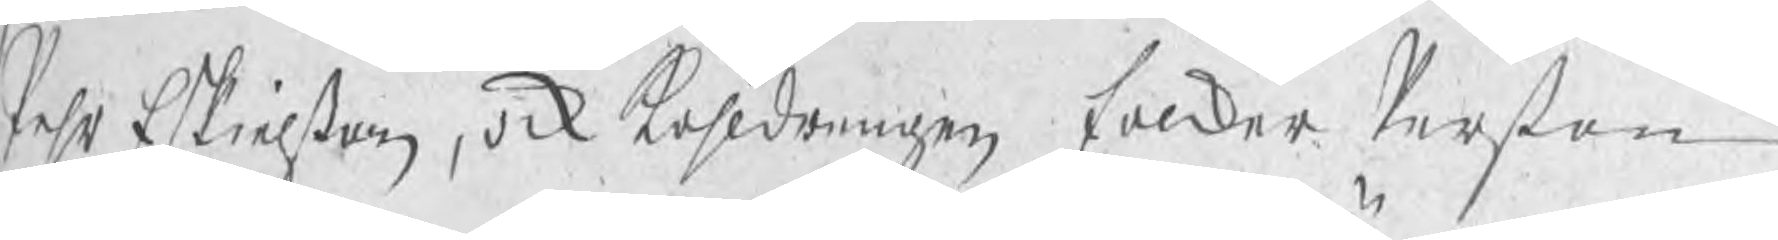Pehr Eskielßon, ock kåhldrengen Folker Perßon
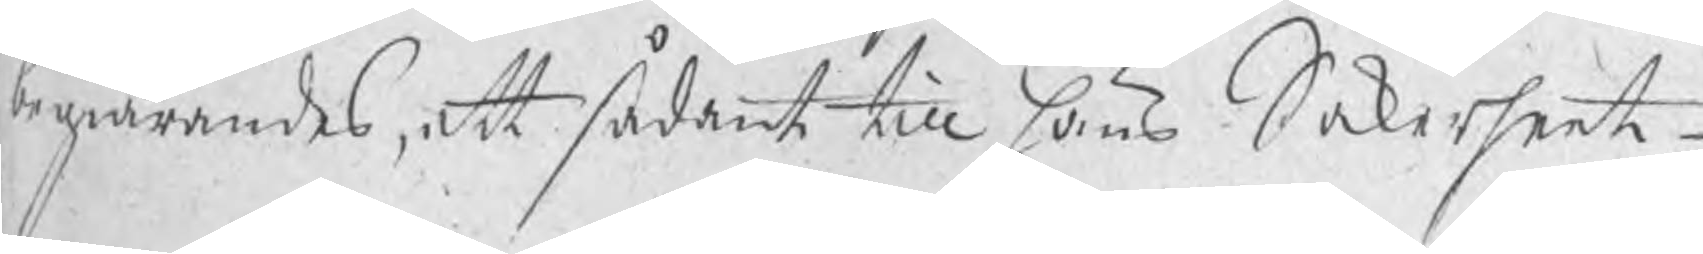begiärandes, att sådant till hans Säkerheet
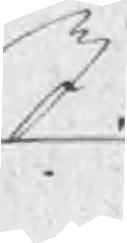I.
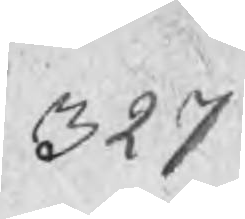327
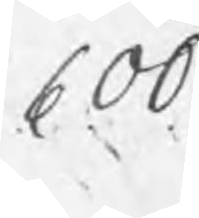600
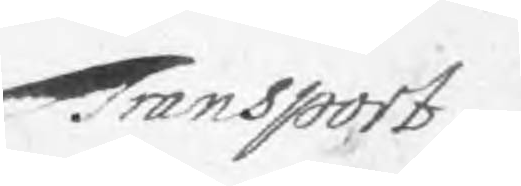Transport 2.
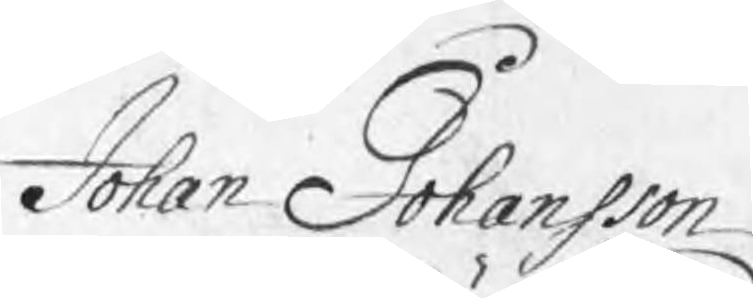Johan Johansson
